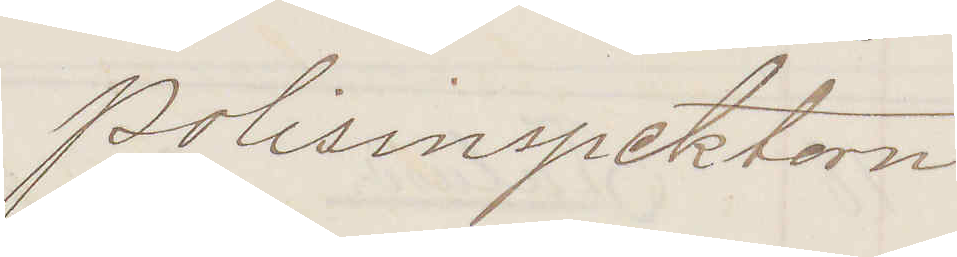Polisinspektorn
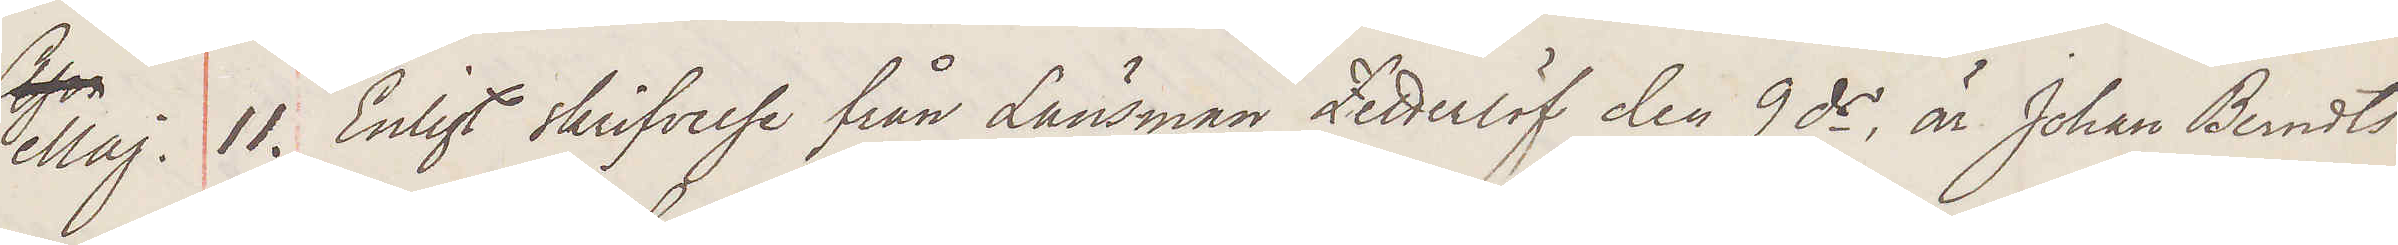Maj. 11. Enligt skrifvelse från Länsman Zetterlöf den 9 ds är Johan Berndts¬
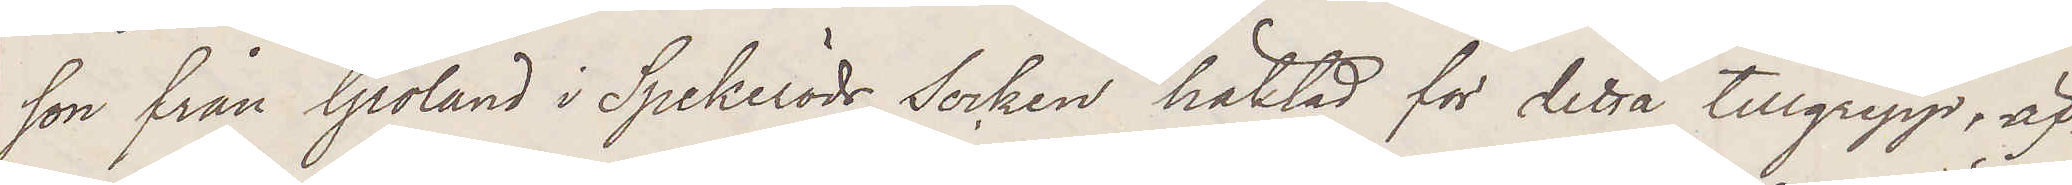son från Groland i Spekeröds Socken häktad för detta tillgrepp, äf¬
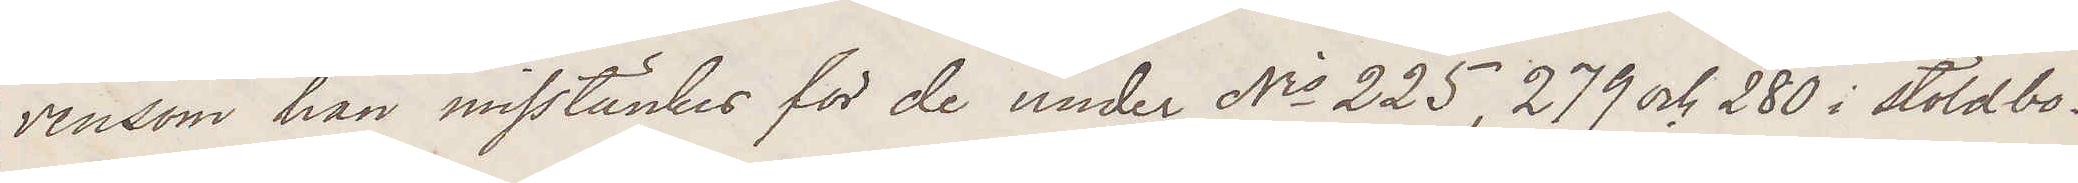vensom han misstänkes för de under Nris 225, 279 och 280 i stöldbo¬
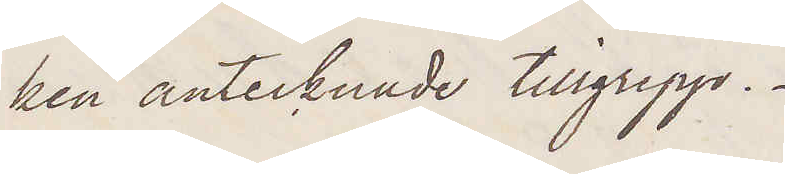ken antecknade tillgrepp.
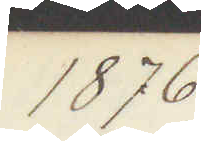1876
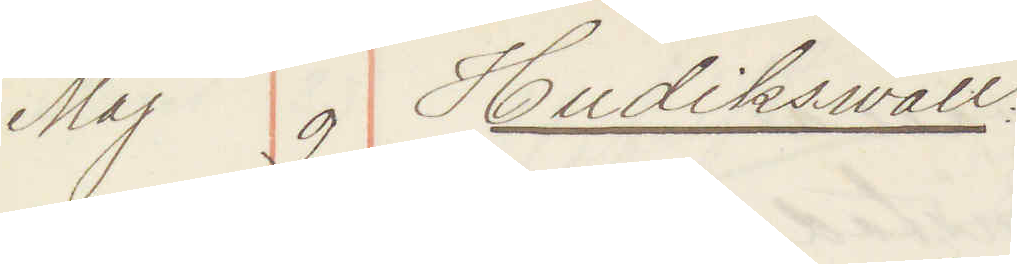Maj 9 Hudiksvall:
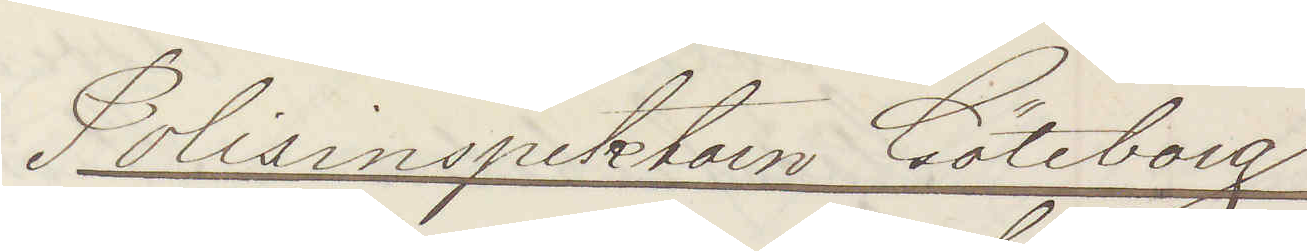Polisinspektorn Göteborg
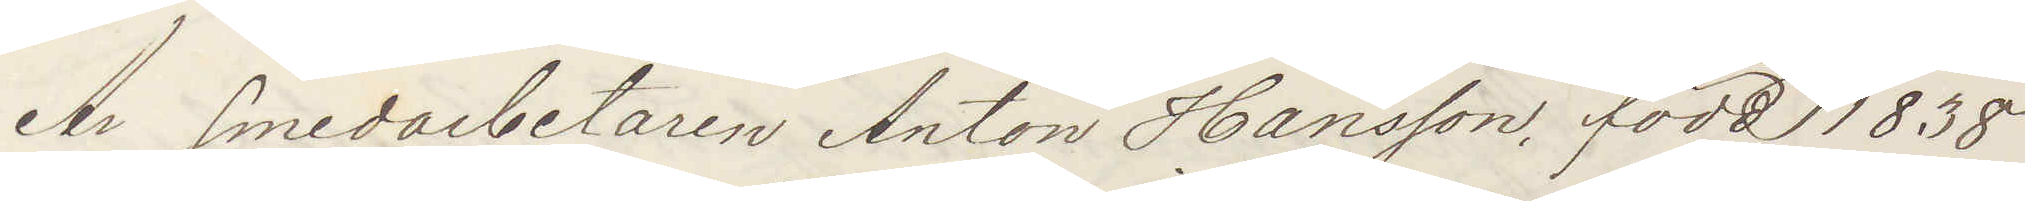Är smedsarbetaren Anton Hansson, född 1838
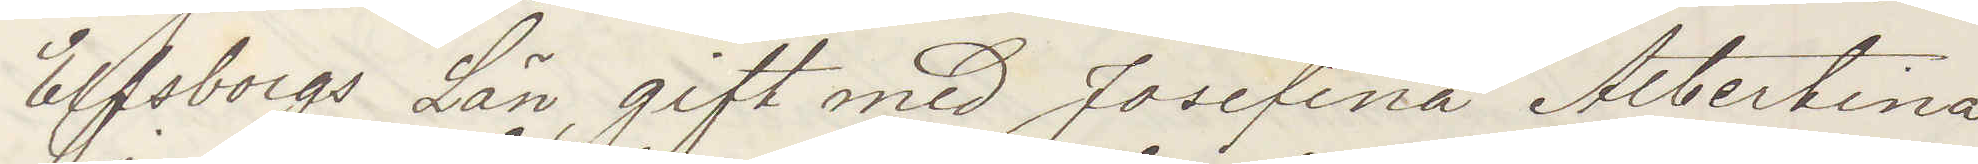Elfsborgs Län, gift med Josefina Albertina
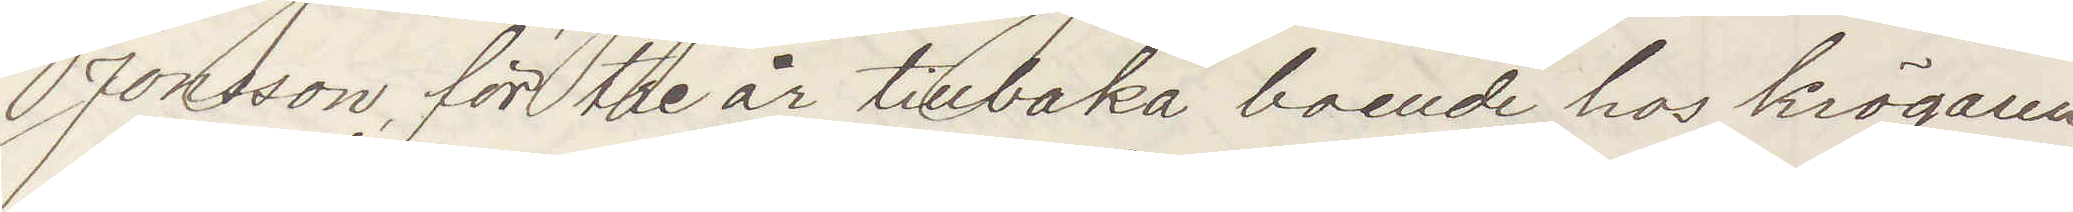Jonsson, för tre år tillbaka boende hos krögaren
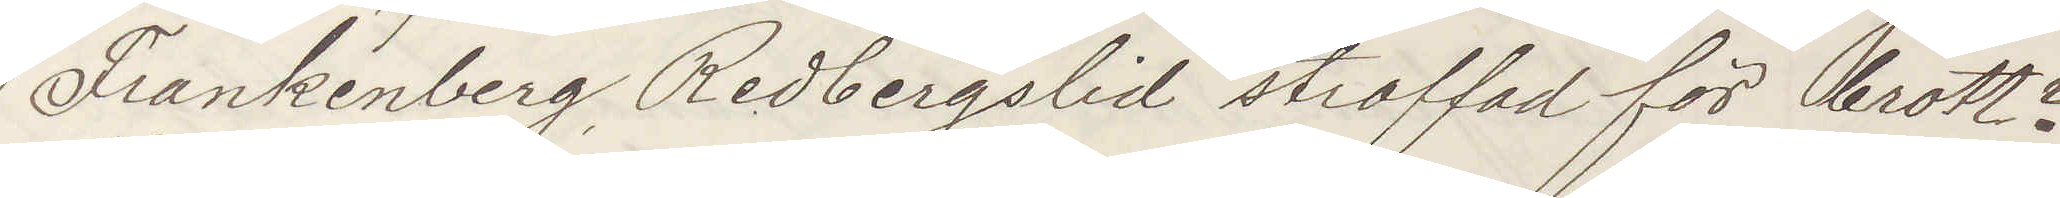Frankenberg, Redbergslid straffad för brott?
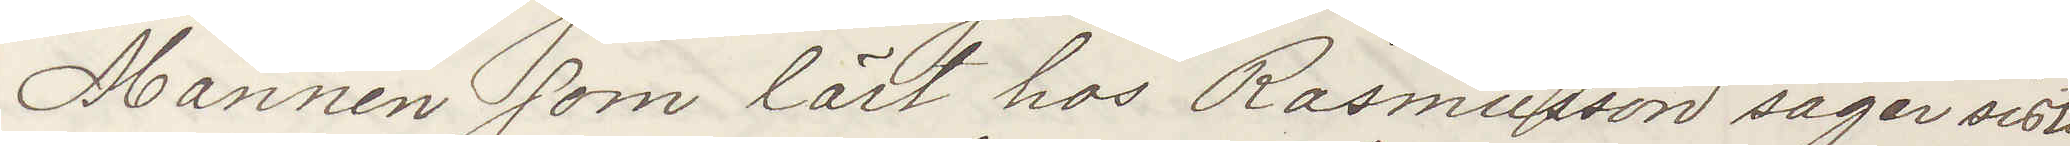Mannen som lärt hos Rasmusson säger sist.
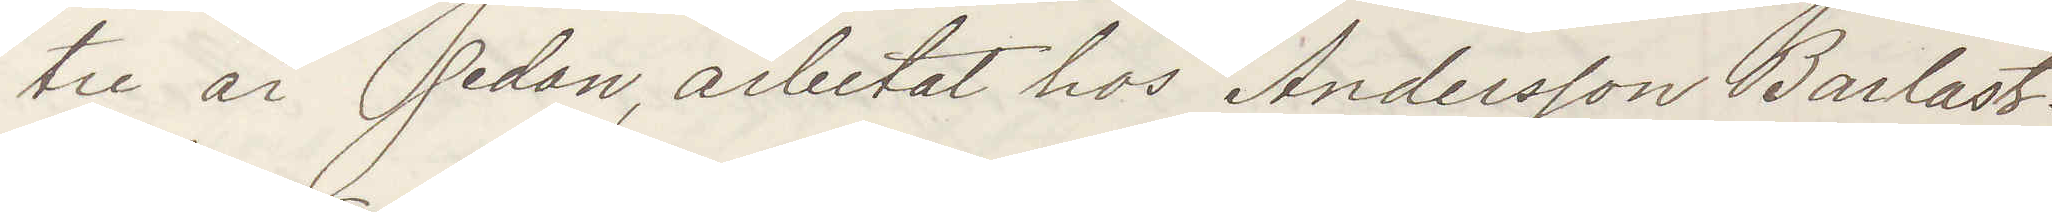tre år sedan arbetat hos Andersson Barlast¬
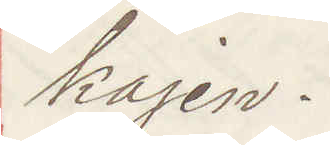kajen.
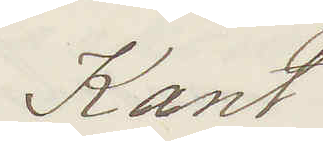Kant
